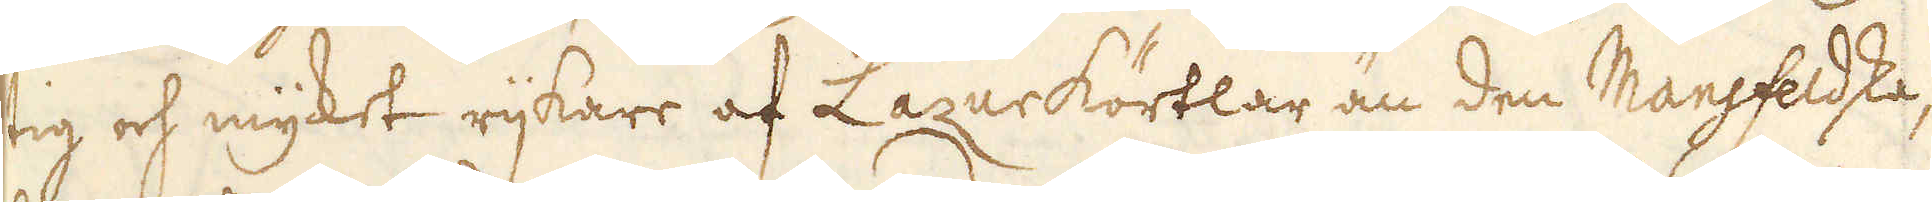tig och mycket rijkare af Lazurkörtlar än den Mansfeldska,
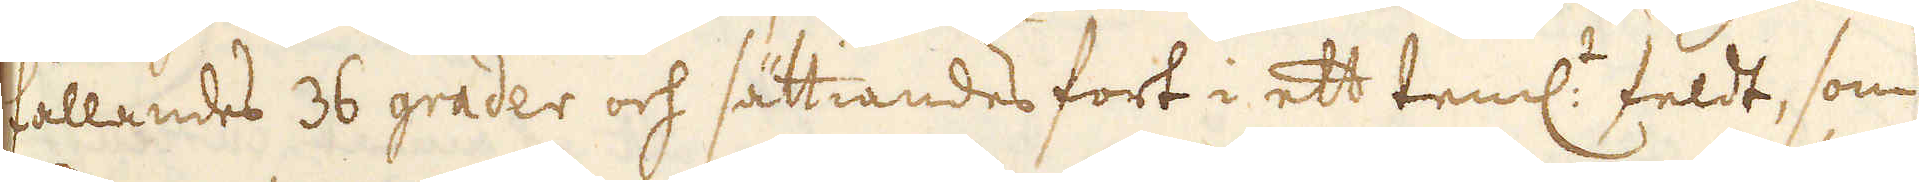fallandes 36 grader och sättiandes fort i ett teml:t feldt, som
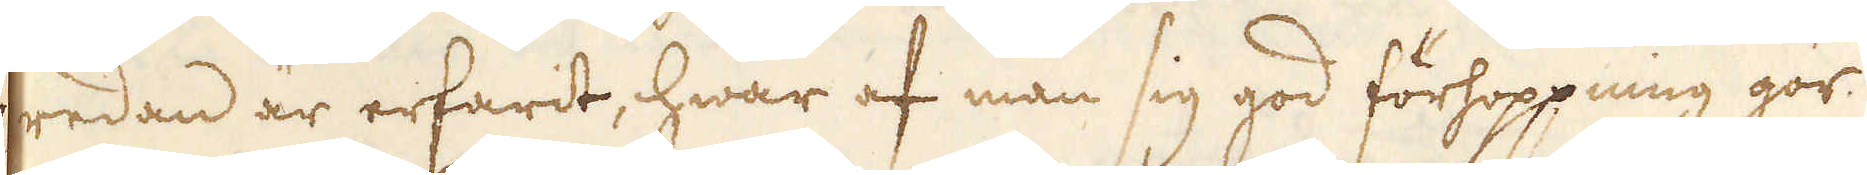redan är erfarit, hwar af man sig god förhoppning gör
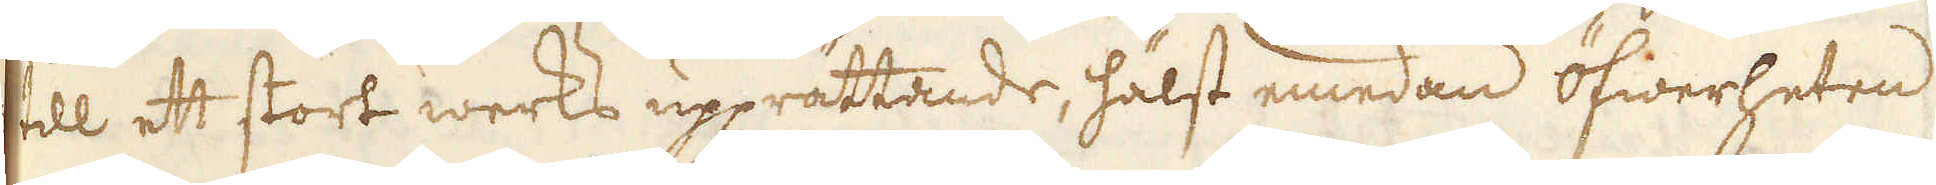till ett stort werks upprättande, hälst emedan öfwerheten
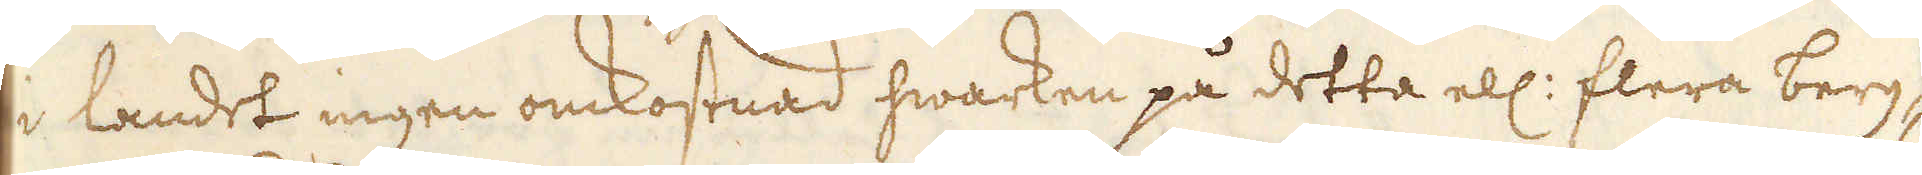i landet ingen omkostnad hwarken på detta ell: flera berg-
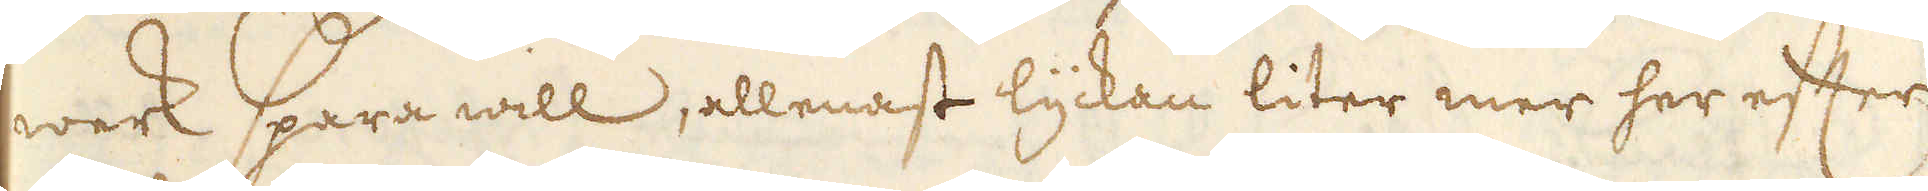werk spara will, allenast lyckan liter mer her efter
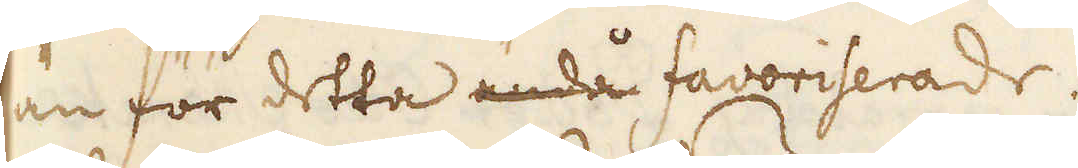än för detta ändå favoriserade.
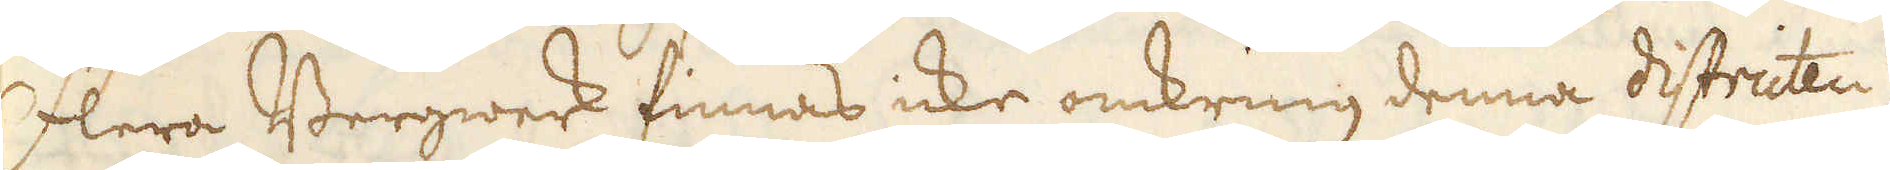Flera Bergwerk finnas icke omkring denna districten,
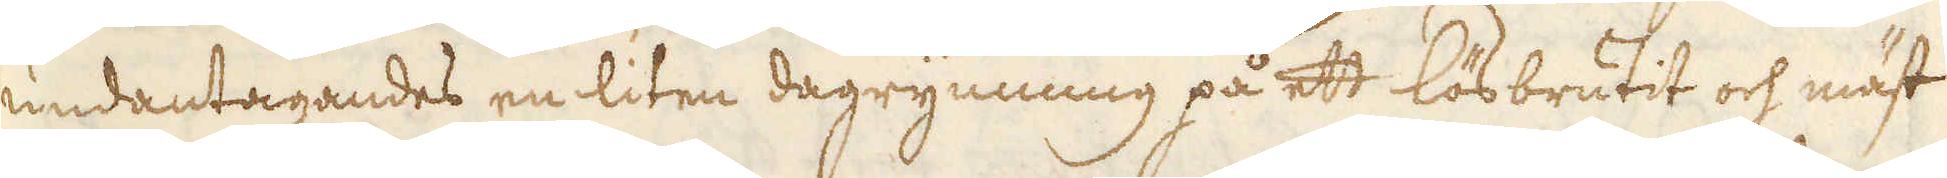undantagandes en liten dagrymning på ett lösbrutit och mäst
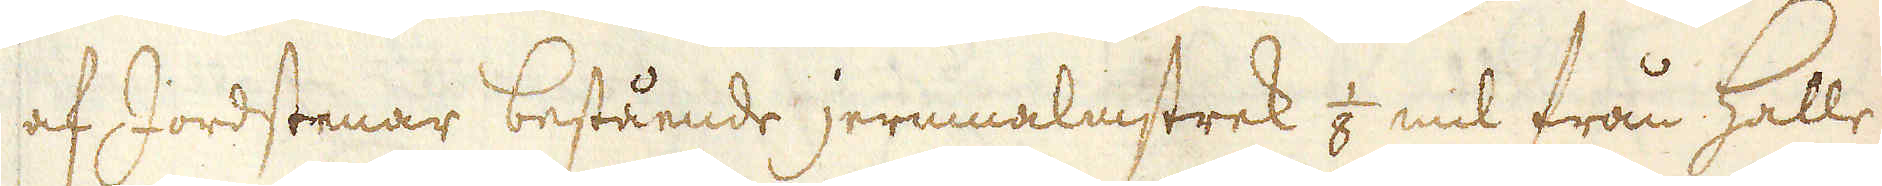af Jordstenar bestående jernnalmstrek 1/8 mil från Halle,
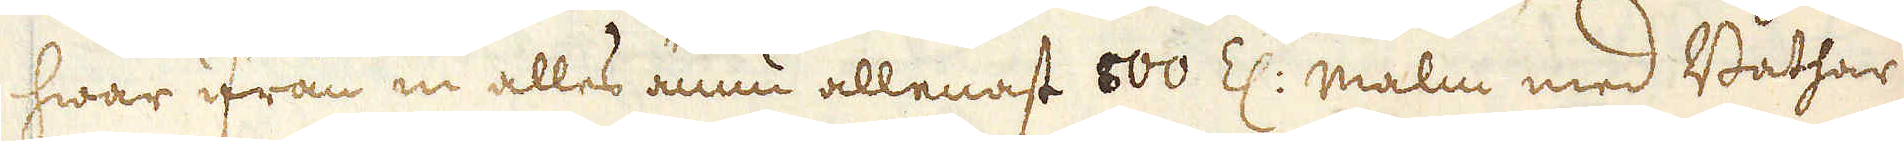hwar ifrån in alles ännu allenast 800 Z: malm med Båthar
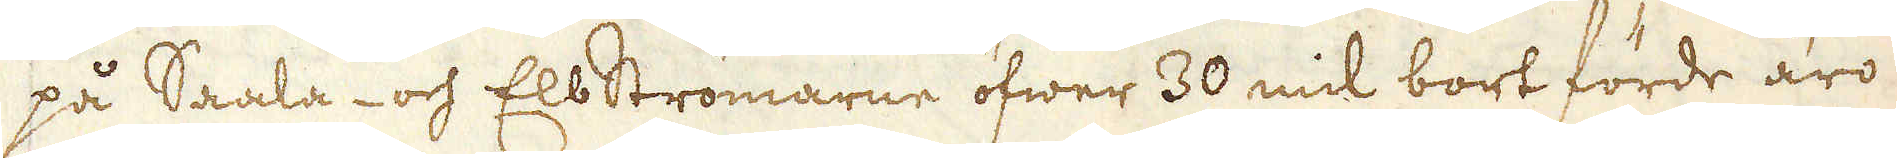på Saala- och Elbströmarne öfwer 30 mil bort förde äro
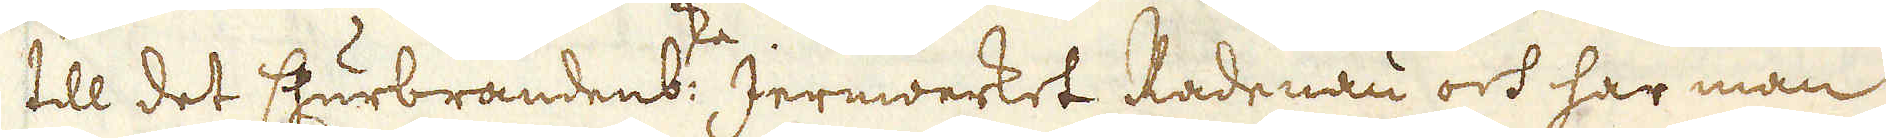till det Churbrandenb:ske Jernwerket Radenau och har man
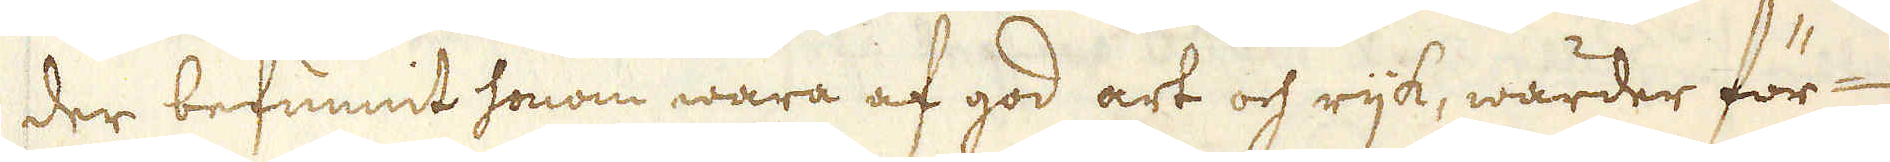der befunnit honom wara af god art och rijk, warder för-
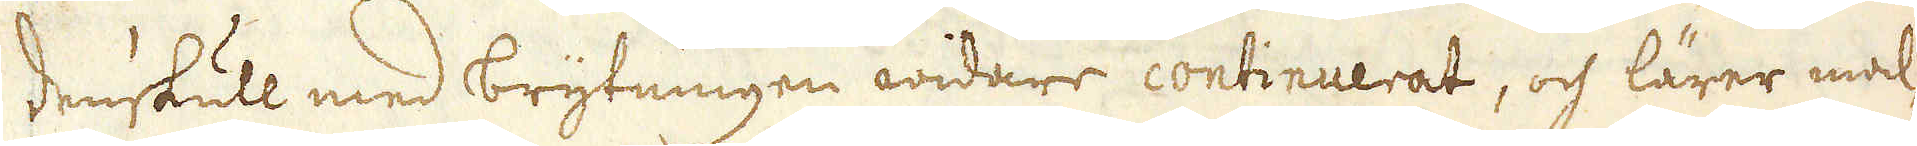denskull med brytningen widare continuerat, och lärer mal-
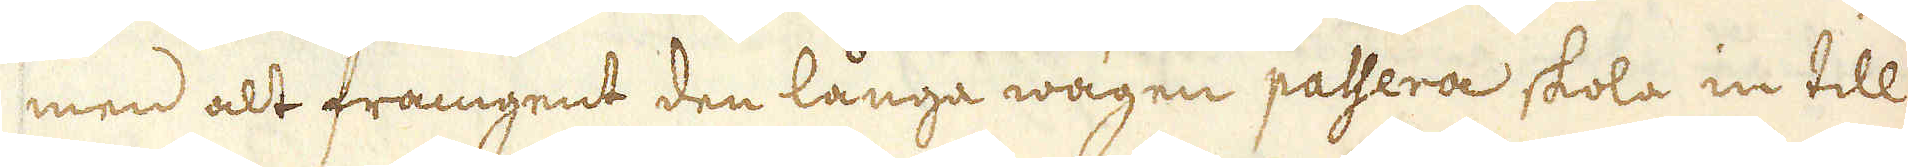men alt framgent den långa wägen passera skola in till
